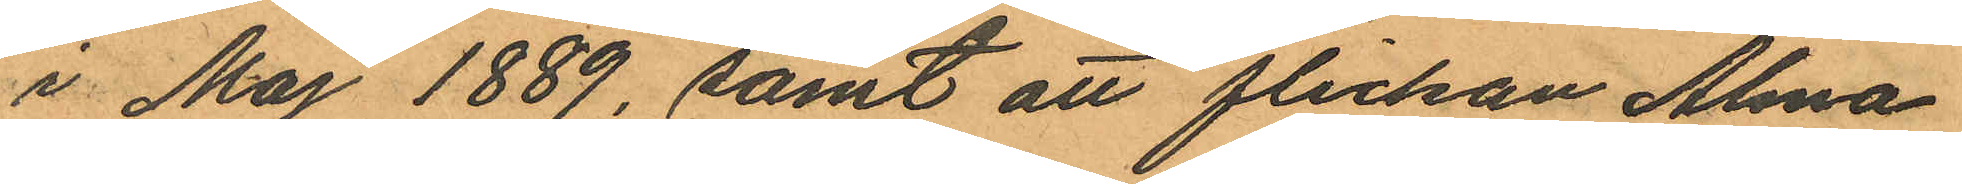i Maj 1889, samt att flickan Alma
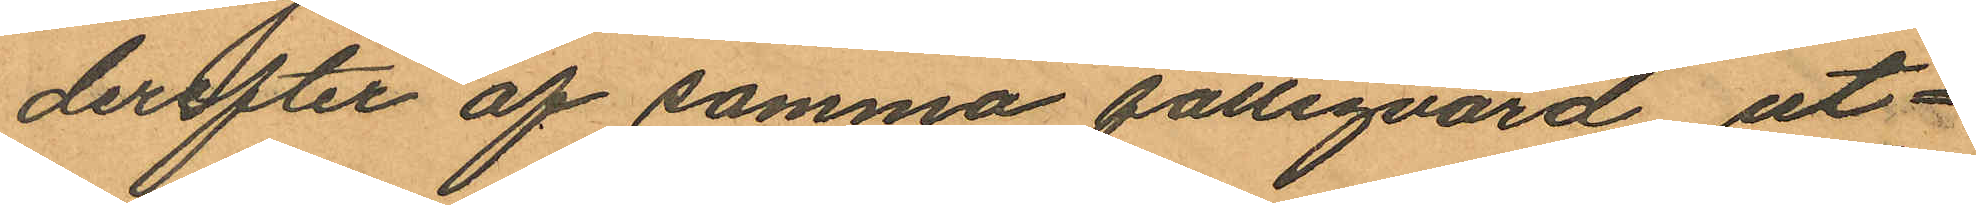derefter af samma fattigvård ut¬
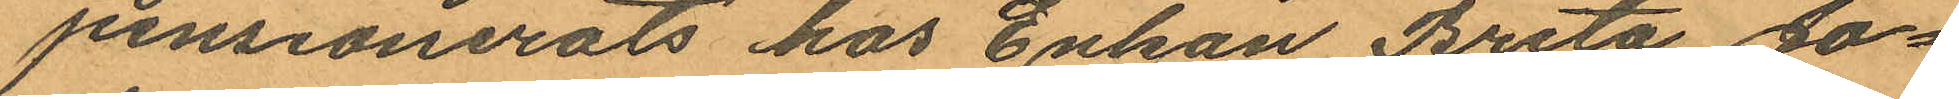pensionerats hos Enkan Brita Jo¬
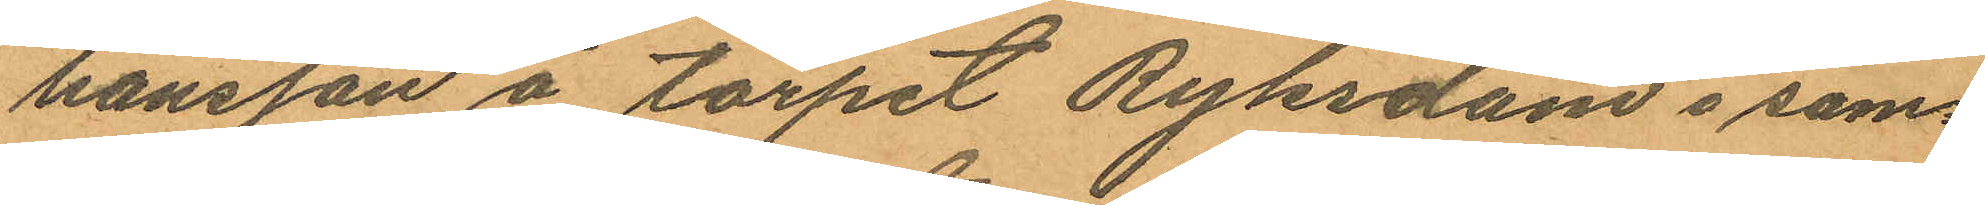hansson å torpet Ryksdam i sam¬
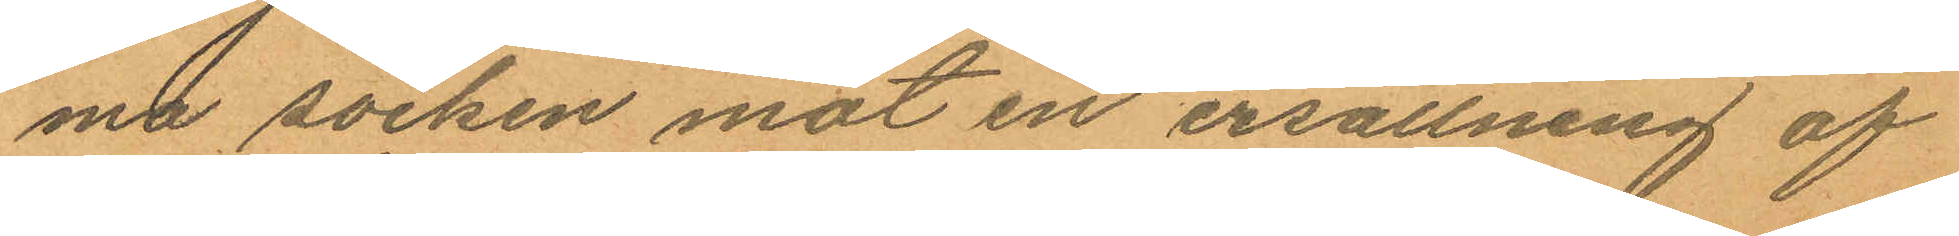ma socken mot en ersättning af
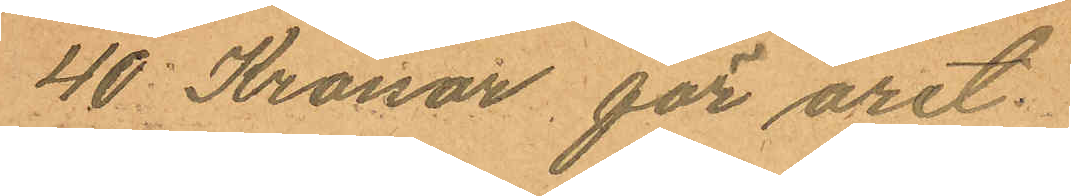40 Kronor för året.
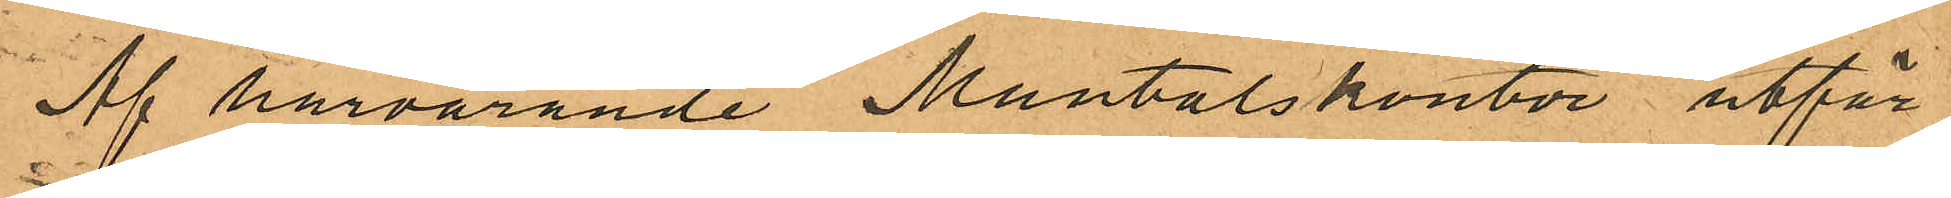Af härvarande Mantalskontor utfär¬
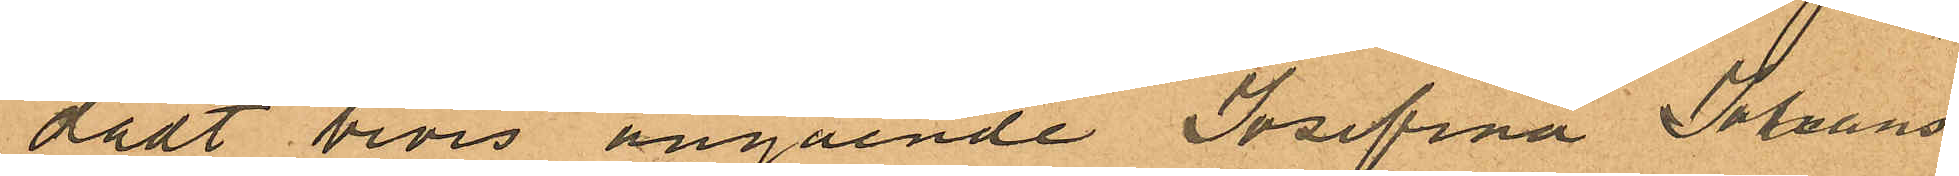dat bevis angående Josefina Johans¬
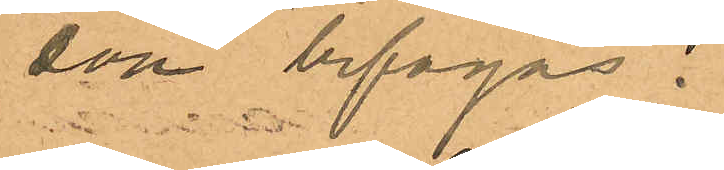son bifogas.
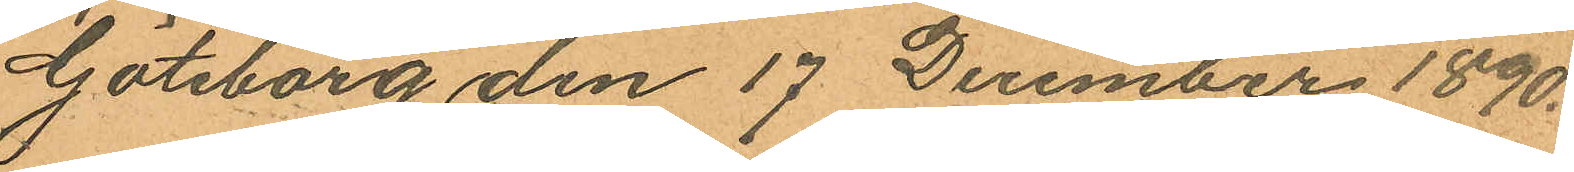Göteborg den 17 December 1890.
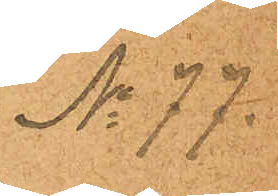No 77.
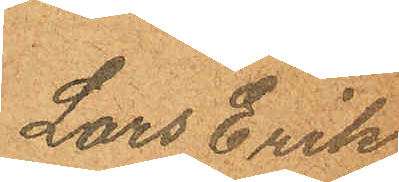Lars Erik
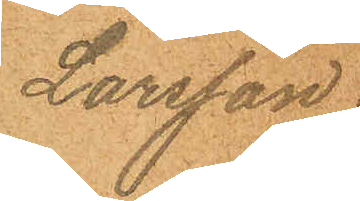Larsson.
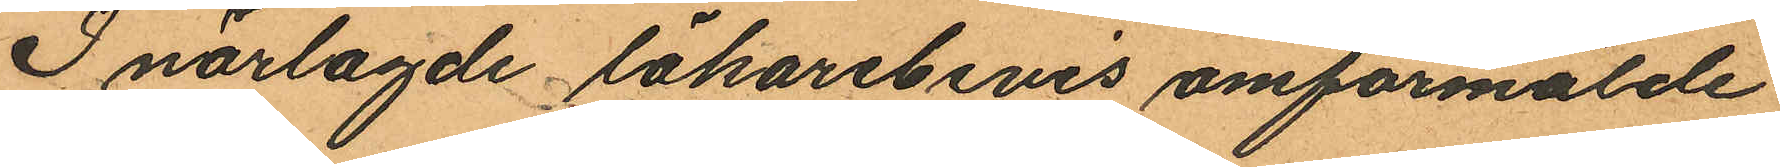I närlagde läkarebevis omförmälde
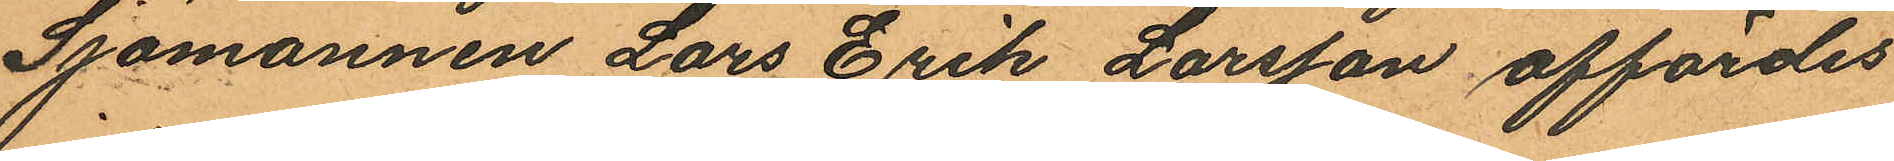Sjömannen Lars Erik Larsson affördes
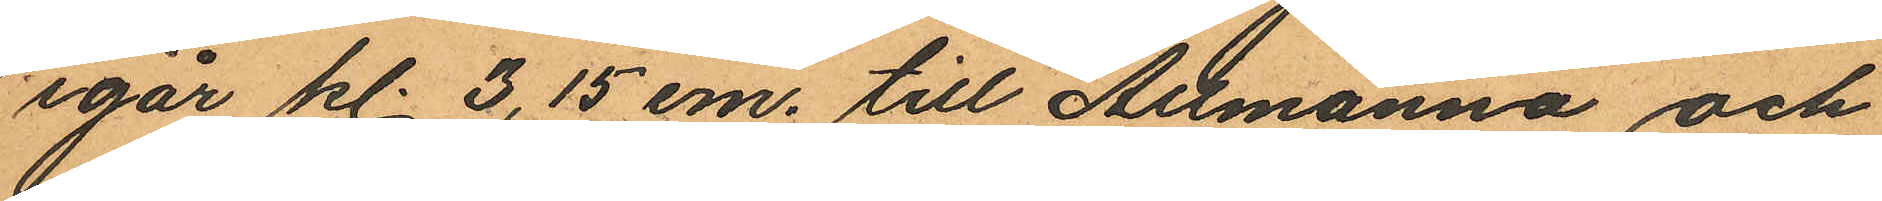igår kl. 3,15 em. till Allmänna och
